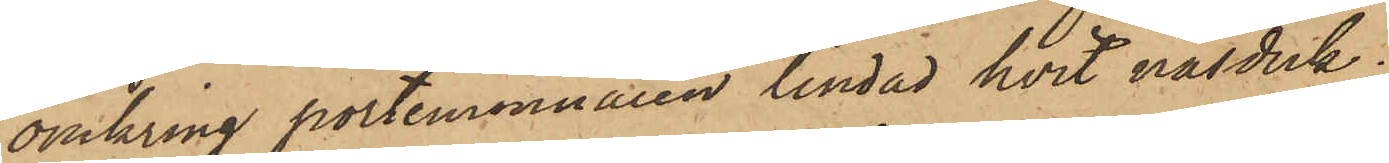omkring portmonnaien lindad hvit näsduk;
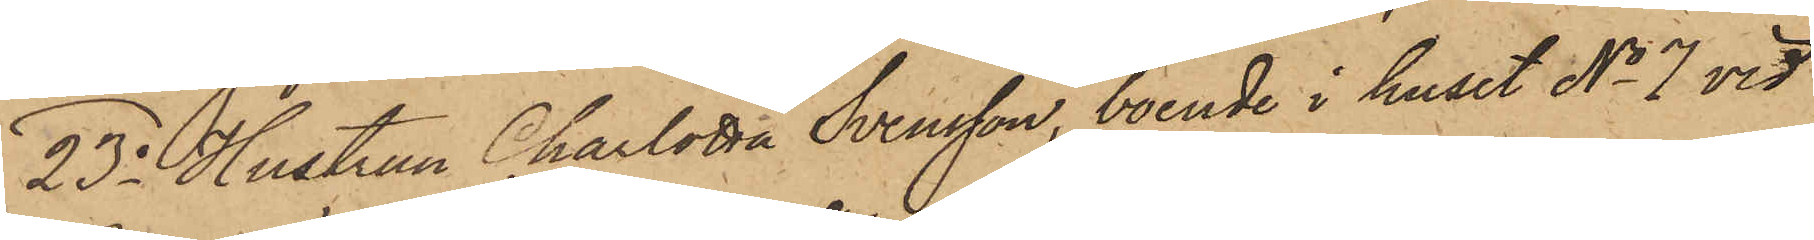23o Hustrun Charlotta Svensson, boende i huset No 7 vid
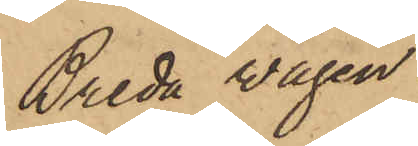Breda wägen
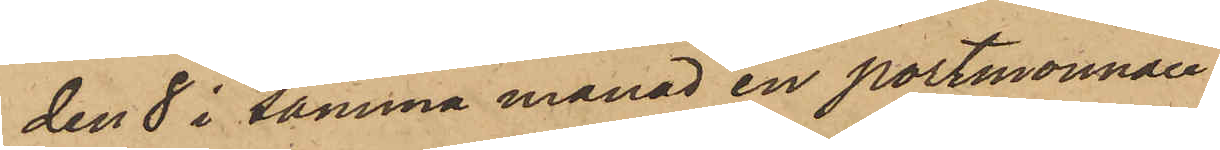den 8 i samma månad en portmonnaie
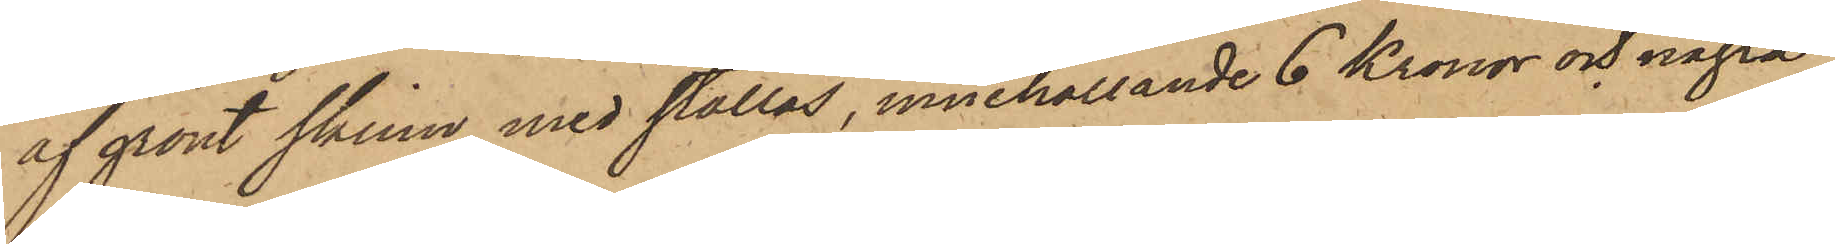af grönt skinn med stållås, innehållande 6 Kronor och några
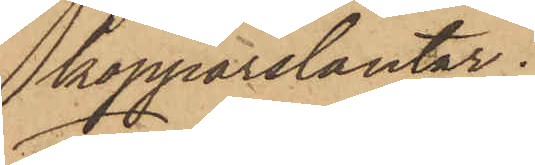kopparslantar;
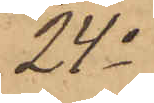24o
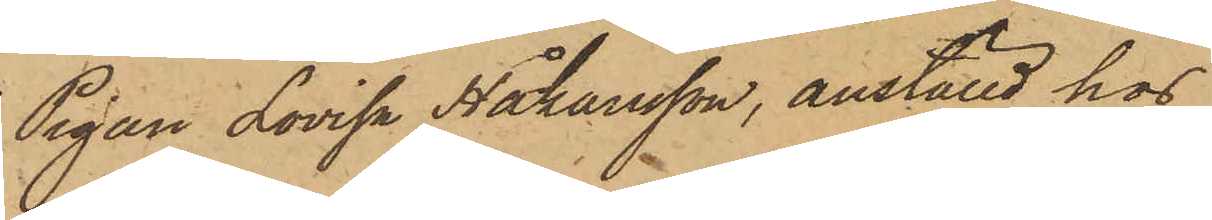Pigan Lovisa Hohansson, anställd hos
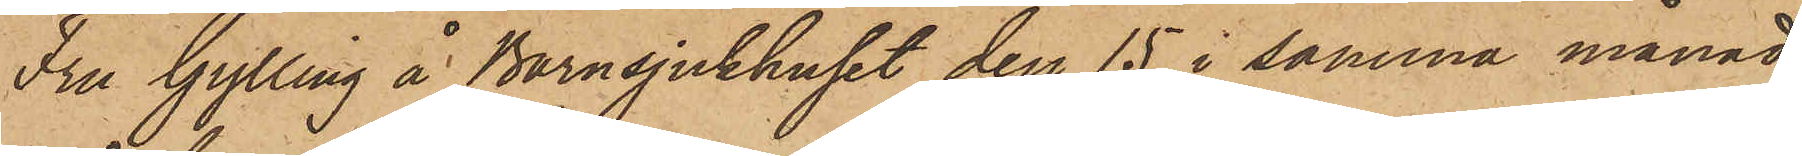Fru Gylling å Barnsjukhuset den 15 i samma månad
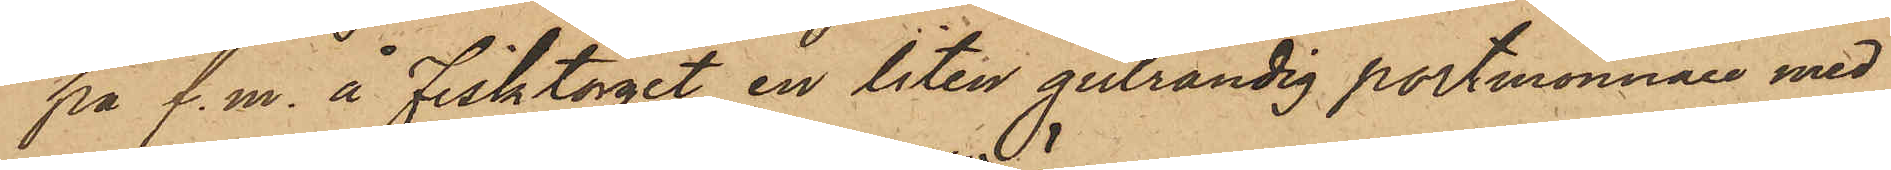på f. m. å Fisktorget en liten gulrandig portmonnaie med
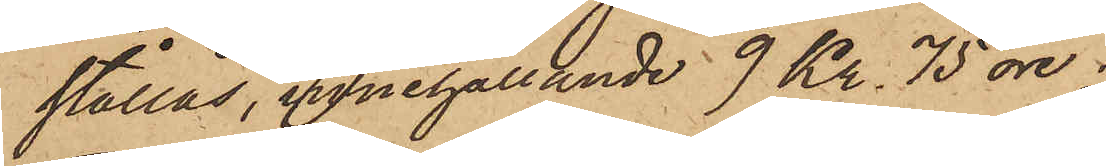stållås, innehållande 9 Kr. 75 öre;
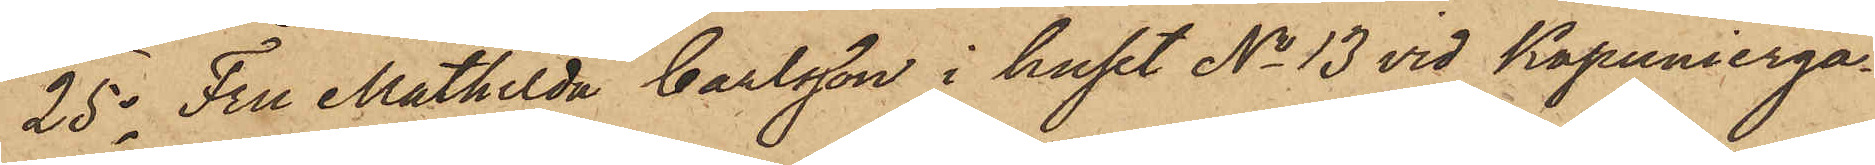25o Fru Mathilda Carlsson i huset No 13 vid Kapunierga¬
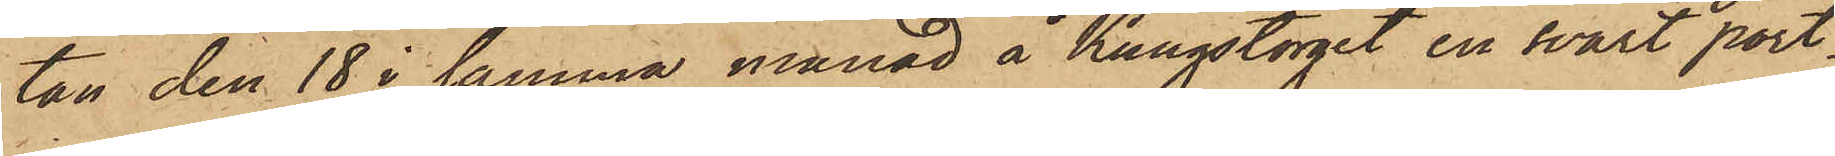tan den 18 i samma månad å Kungstorget en svart port¬
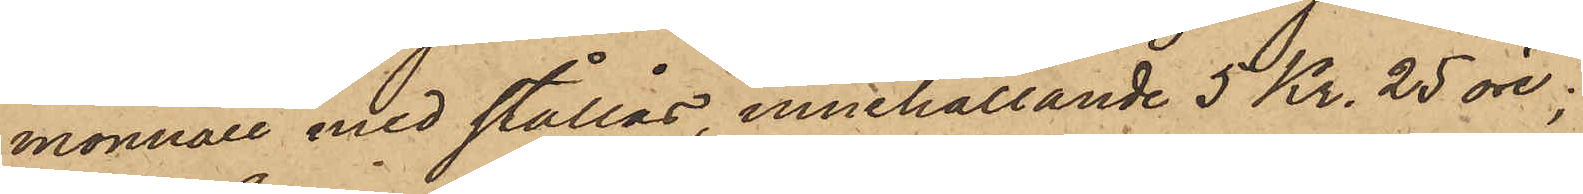monnaie med stållås, innehållande 5 Kr. 25 öre;
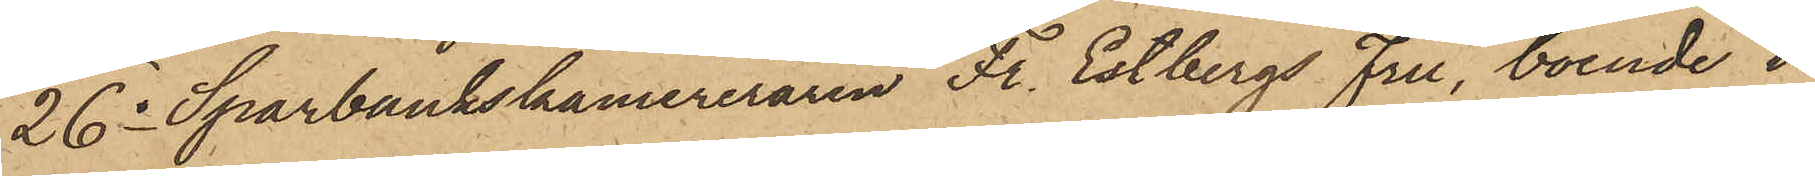26o Sparbankskamreraren Fr. Estbergs Fru, boende i
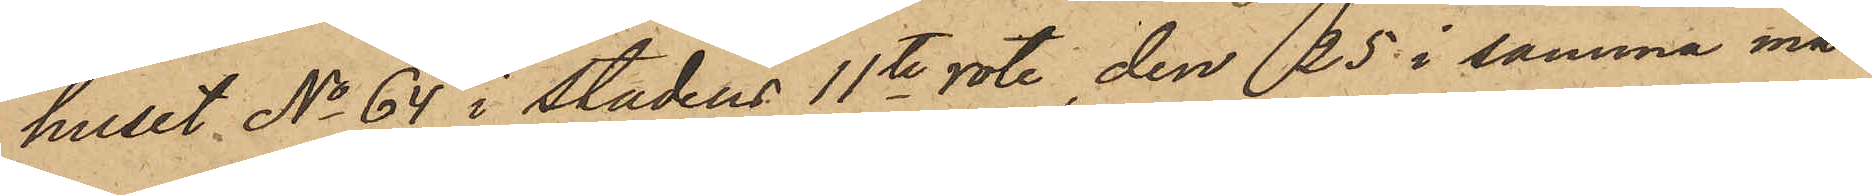huset No 64 i Stadens 11te rote, den 25 i samma må¬
